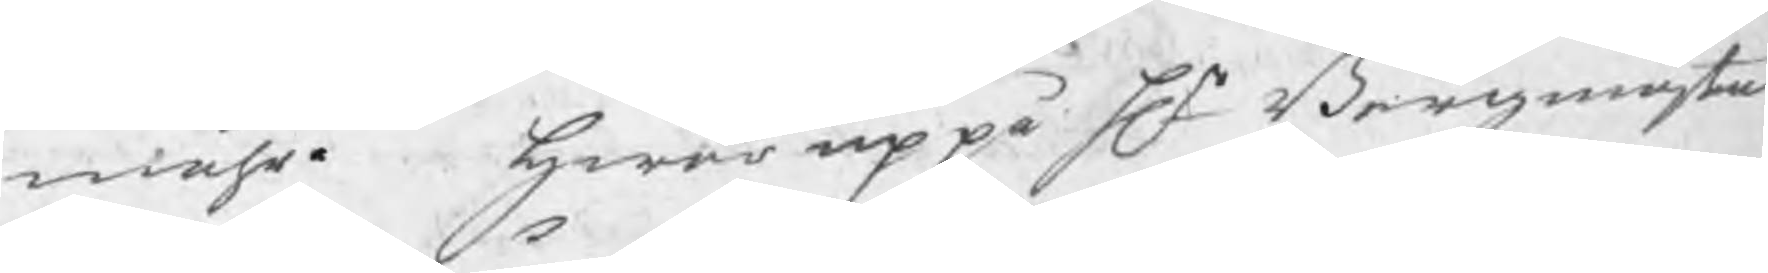måhr. Hwar uppå Hr Bergmästa¬
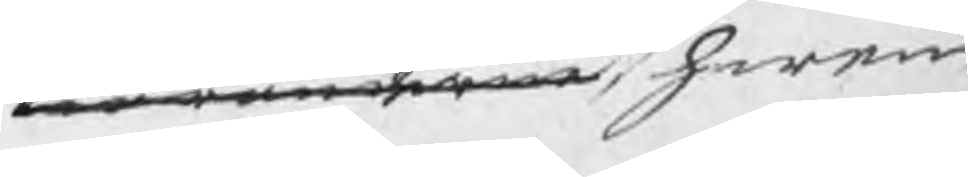Swaranderne
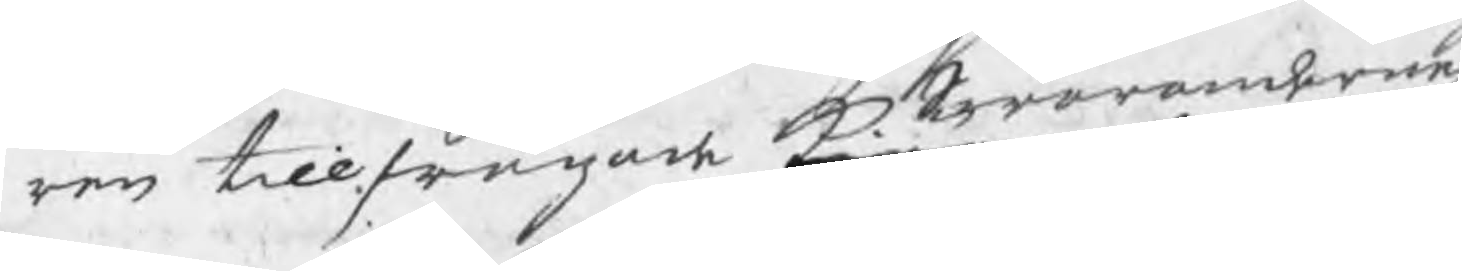ren tillfrågade kiäranderne hwem
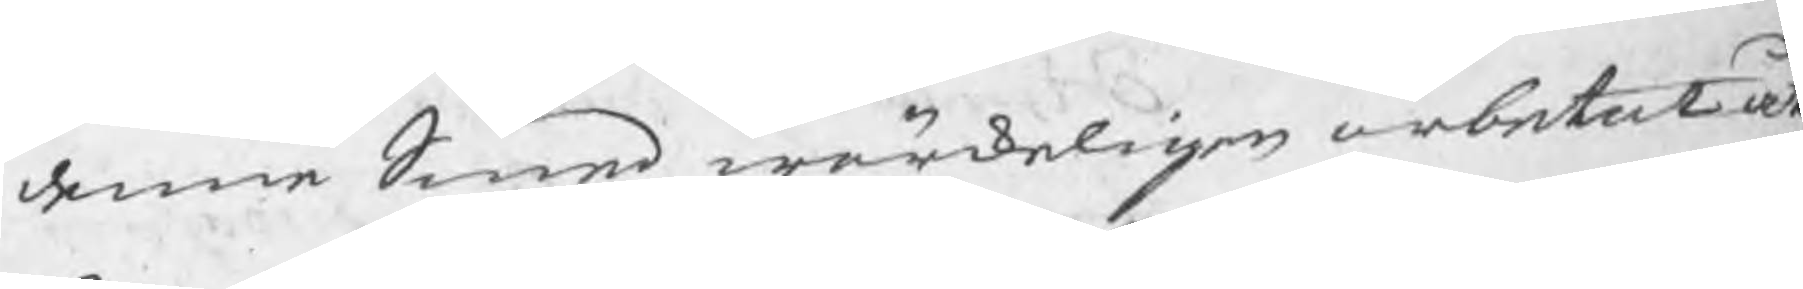denne Smed wärkeligen arbetat åt,
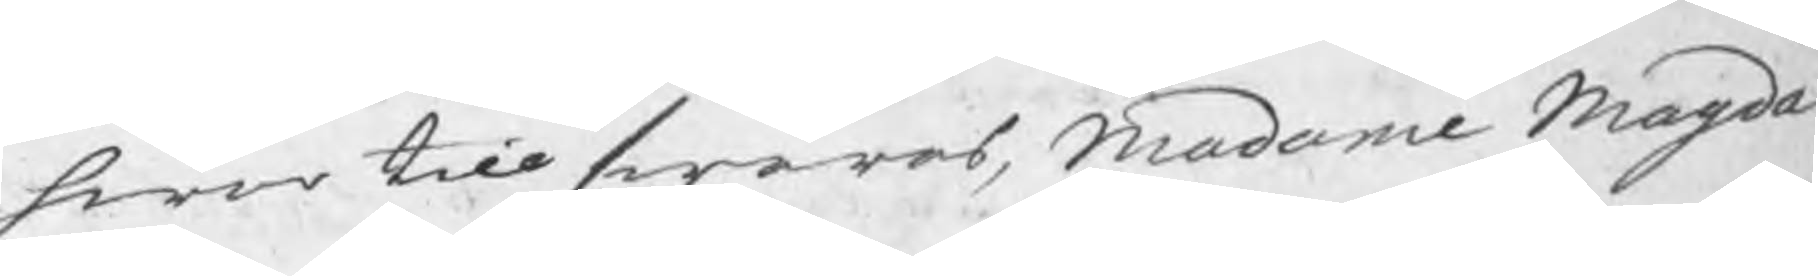hwar till swaras, Madame Magda
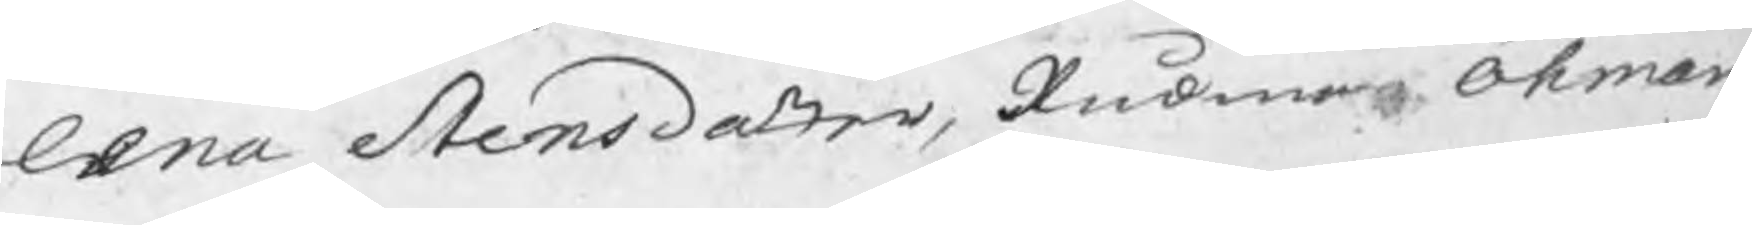lena Stensdotter, Rådman Öhman
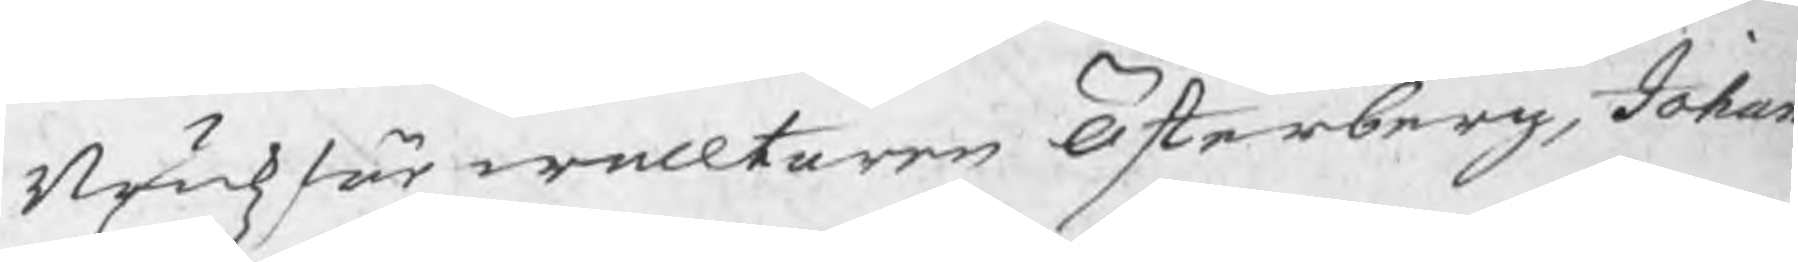Brukzförwaltaren Österberg, Johan
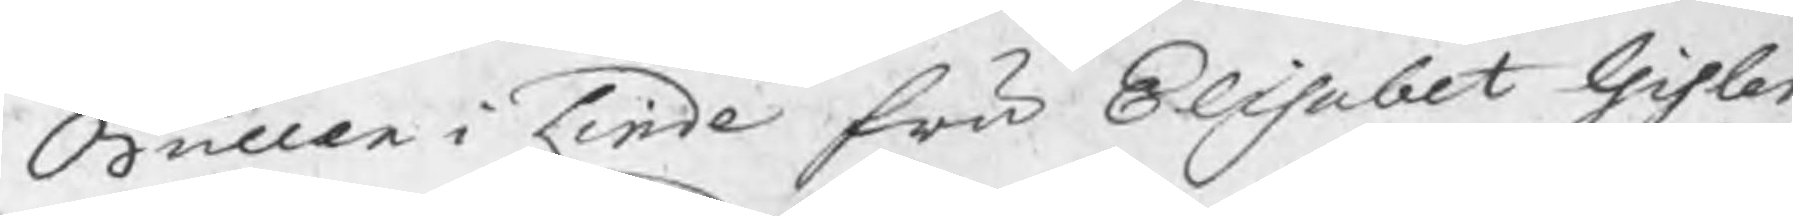Buller i Linde fru Elisabet Gisler
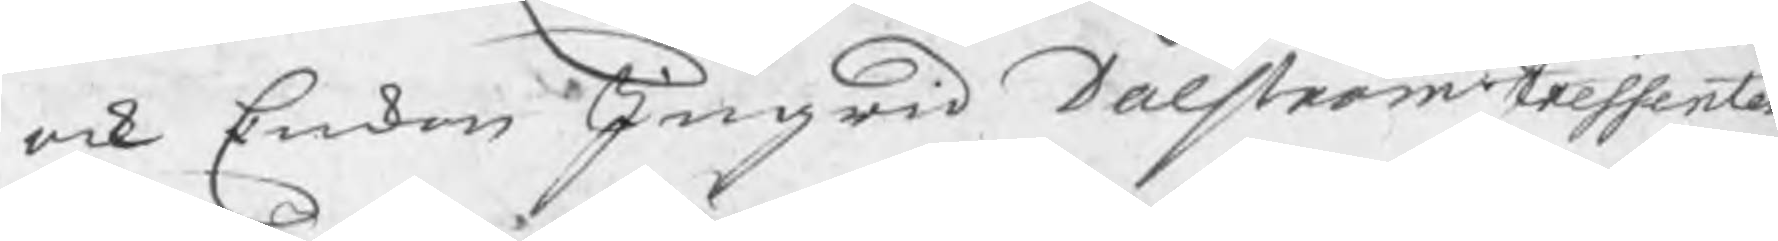ock Enkan Ingrid Dalström tressenter
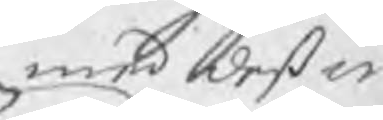med deß in
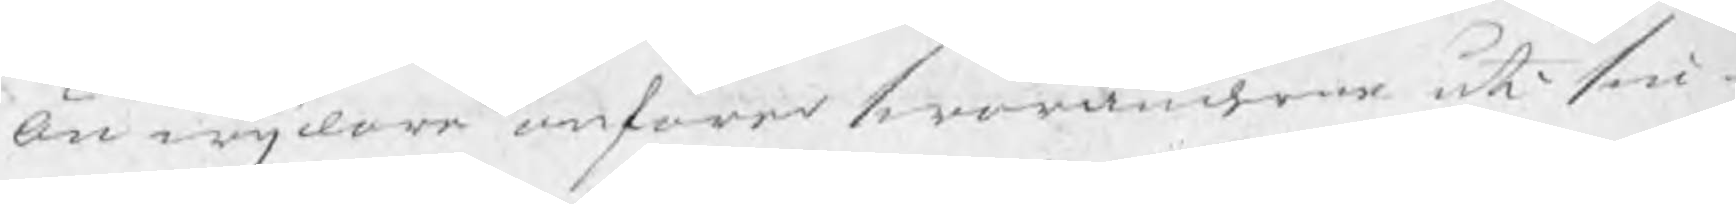Än wijdare anförer swaranderne uti sin
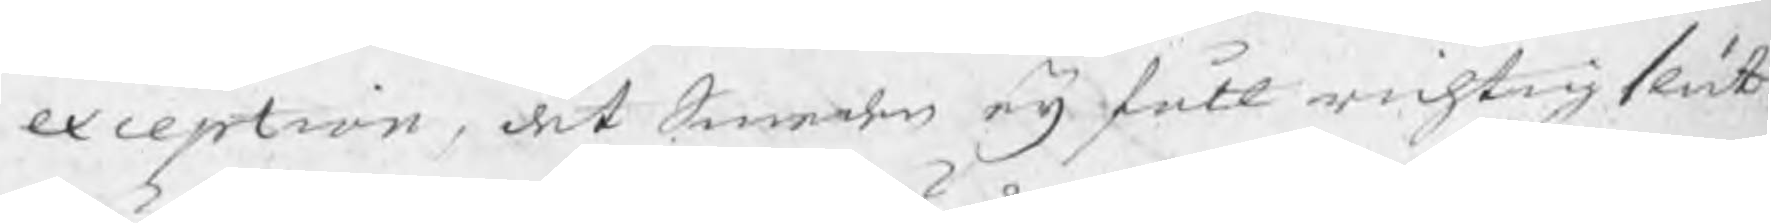exception, det Smeden eij fått richtig slut¬
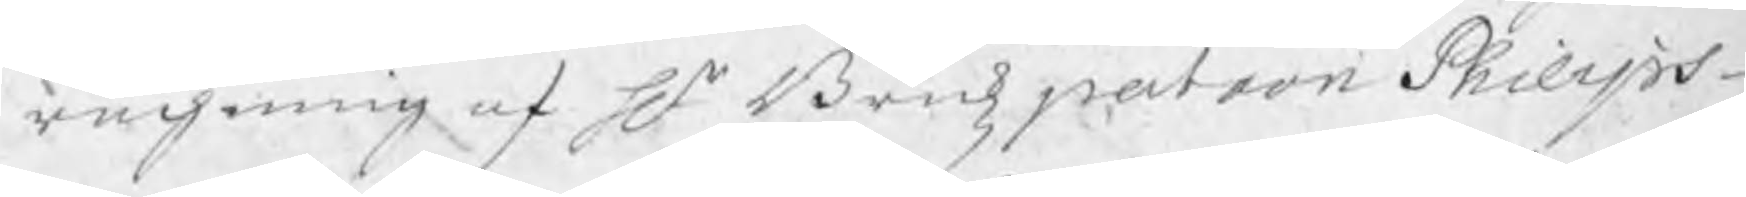rächning af Hr Brukzpatron Philips¬
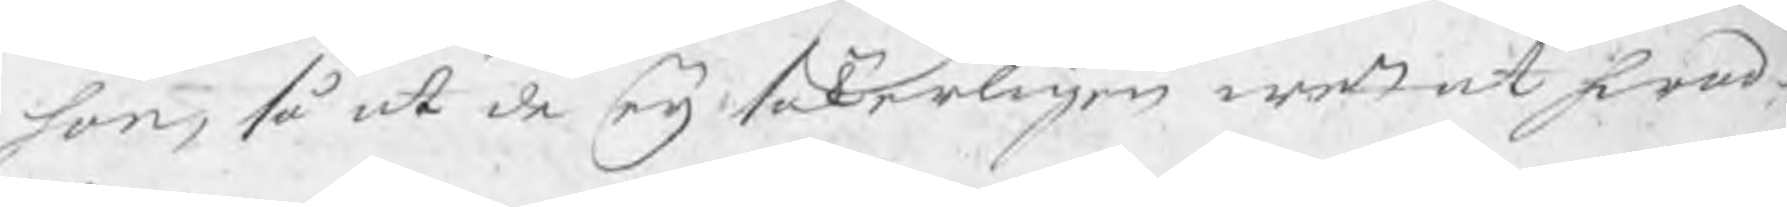son, så att de eij säkerligen wetat hwad
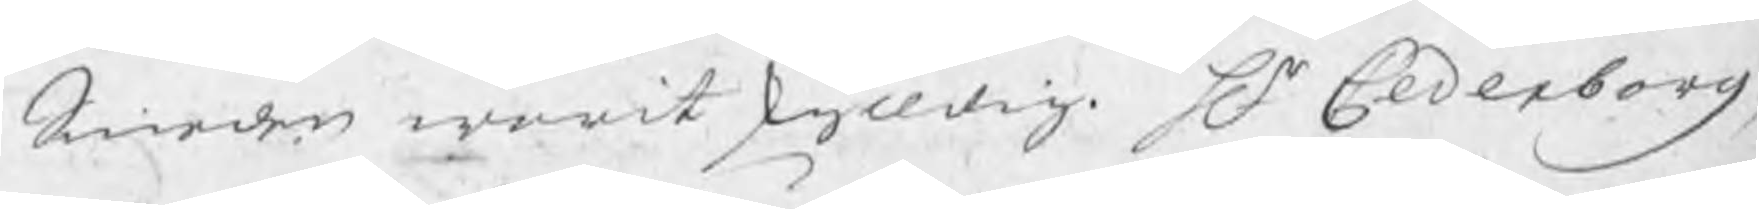Smeden warit skyldig. Hr Cederborg,
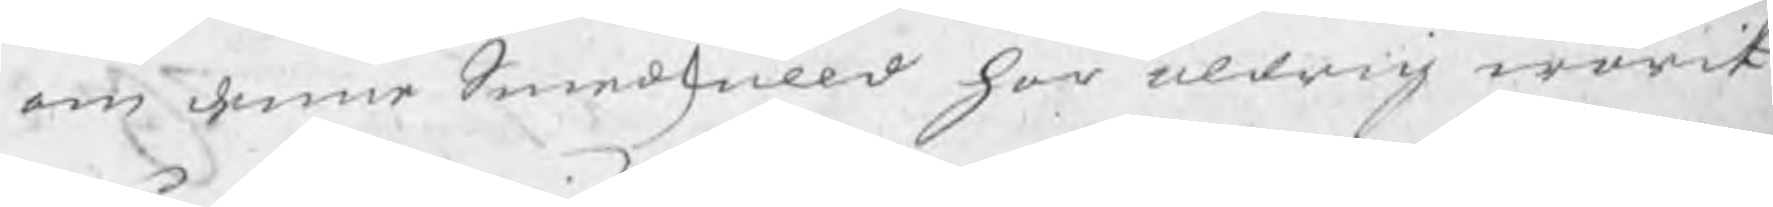om denne Smedskulld har aldrig warit
